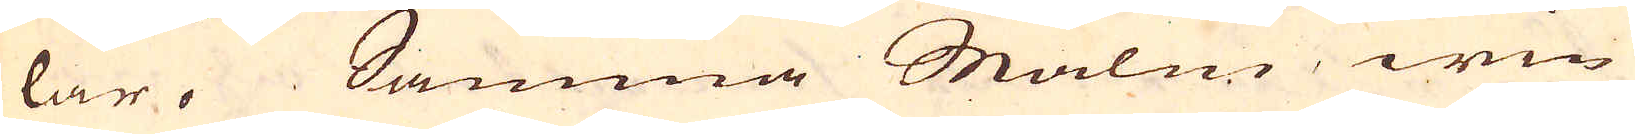lar. Samma Malm, win-
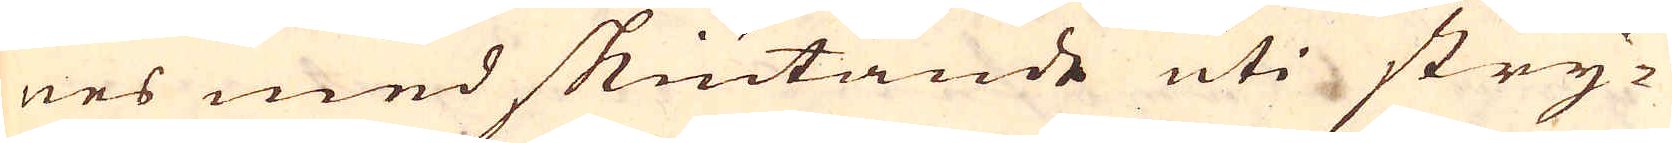nes med skiutande uti stry-
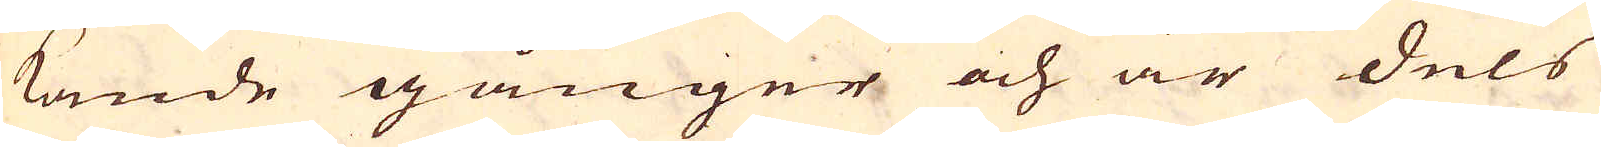kande gånger och är dels
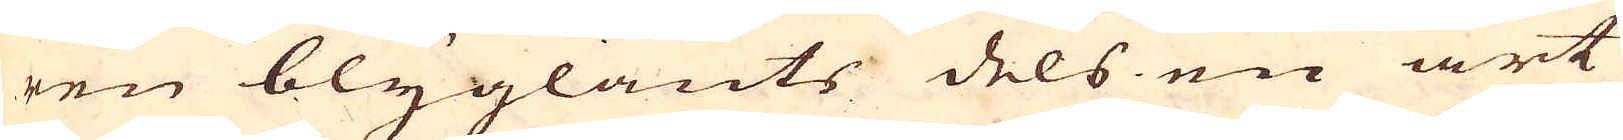ren blyglants dels en art
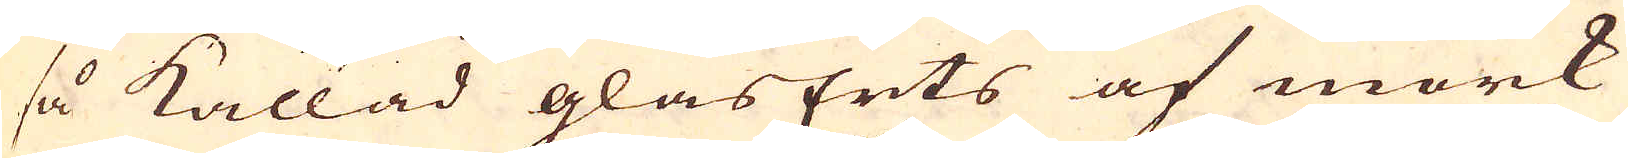så kallad glasErts af mörk
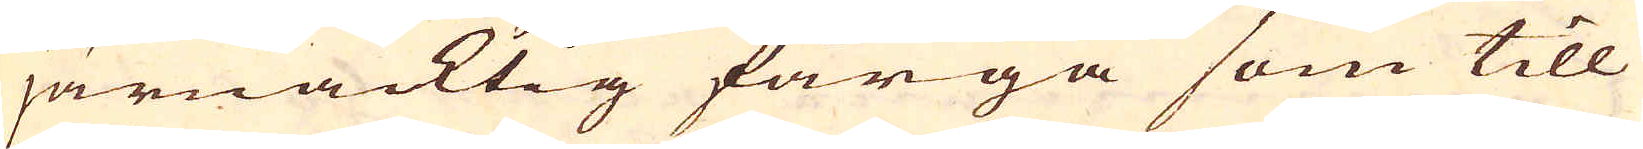järnacktig färga som till
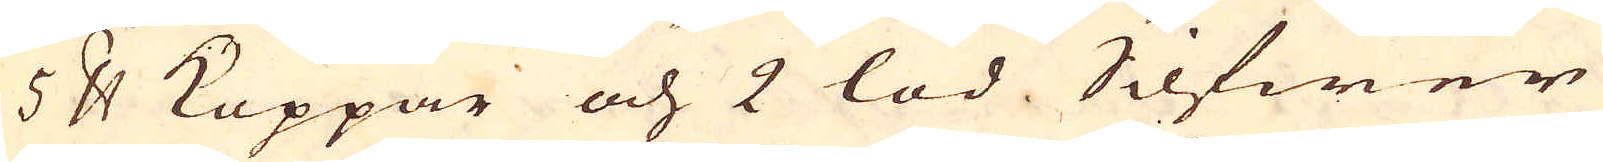5 skålpund Koppar och 2 lod Silfwer
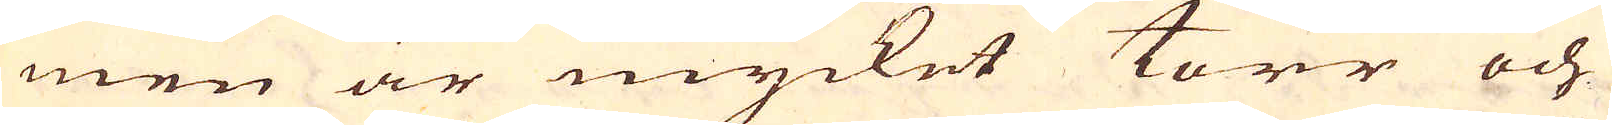men är mycket torr och
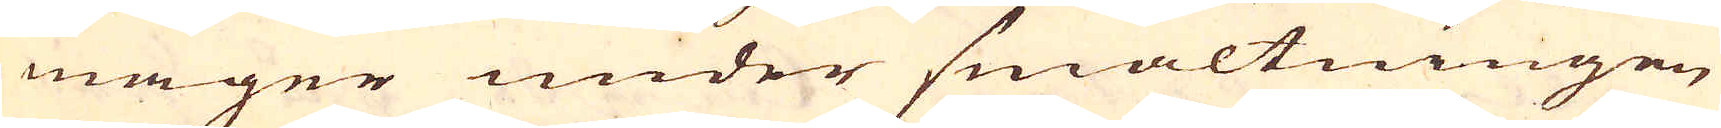mager under smältningen
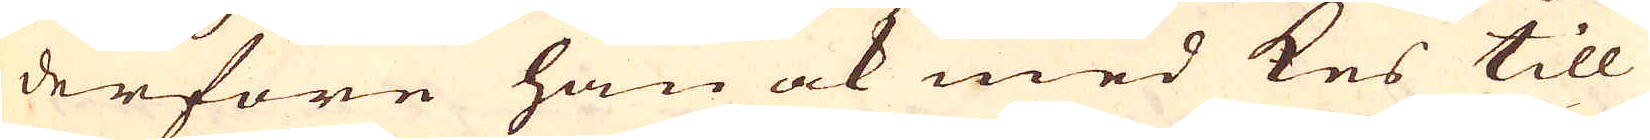derföre han ock med kes till
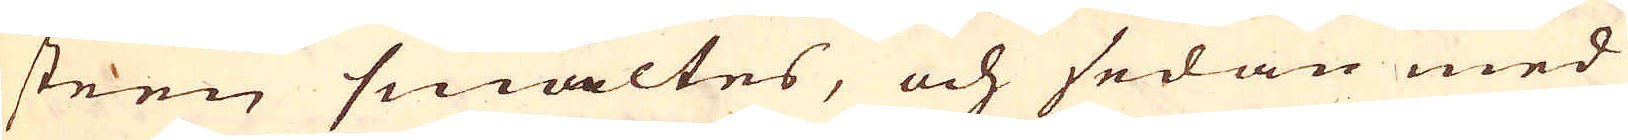steen smältes, och sedan med
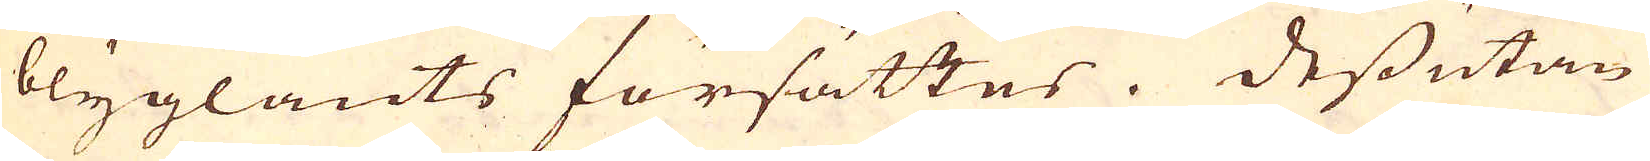blyglants försättes. Dessutan
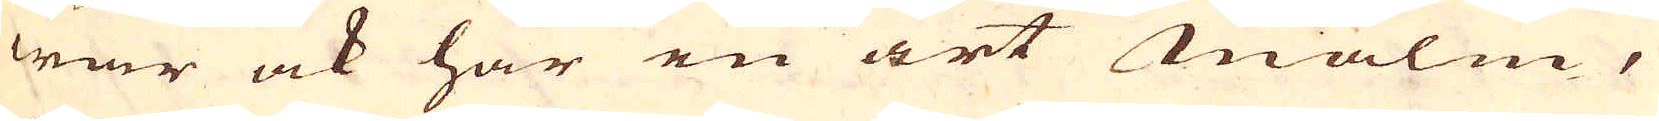war ock har en art malm,
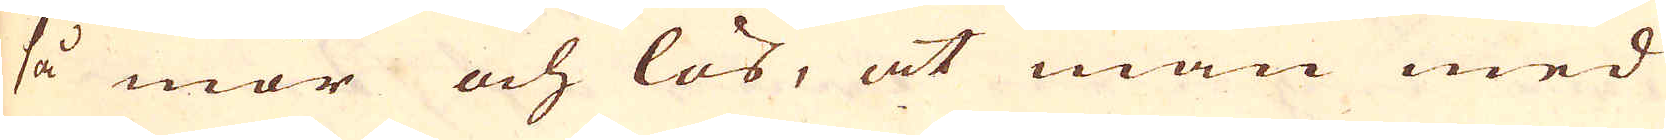så mör och lös, at man med
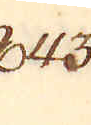843.
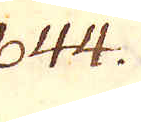844.
